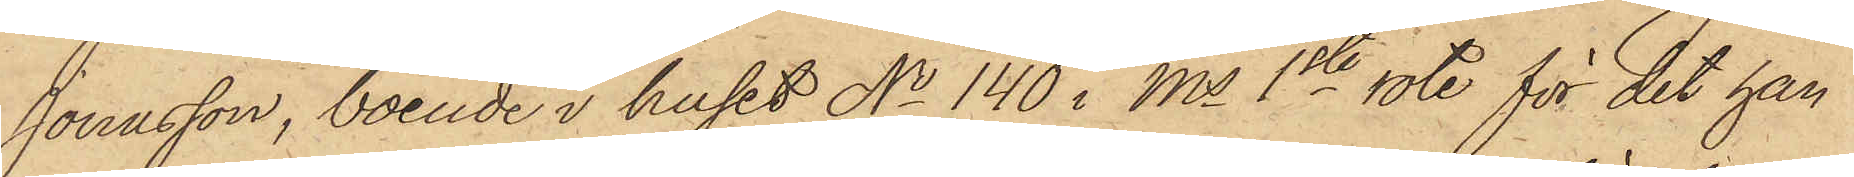Jonasson, boende i huset No 140 i Ms 1ste rote för det han
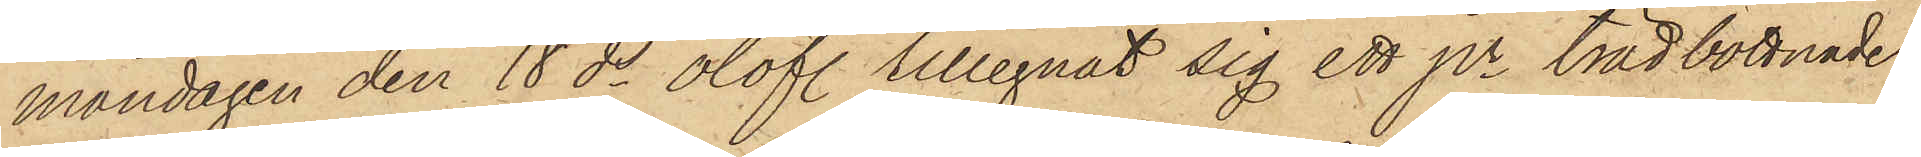måndagen den 18 ds olofl. tillegnat sig ett par trädbottnade
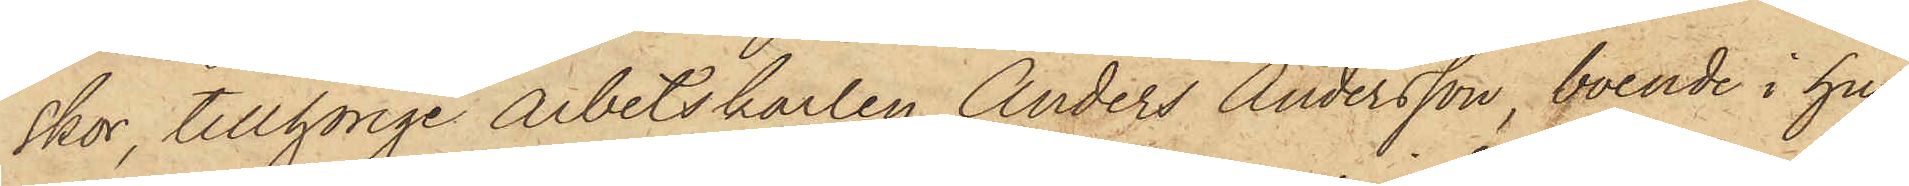skor, tillhörige arbetskarlen Anders Andersson, boende i hu¬
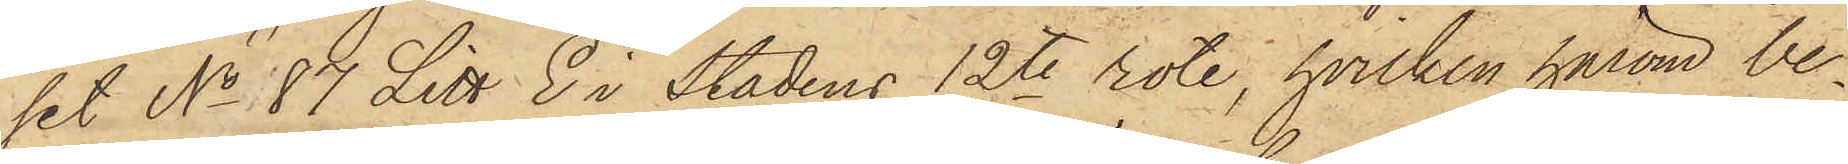set No 87 Litt. E i Stadens 12te rote, hvilken härom be¬
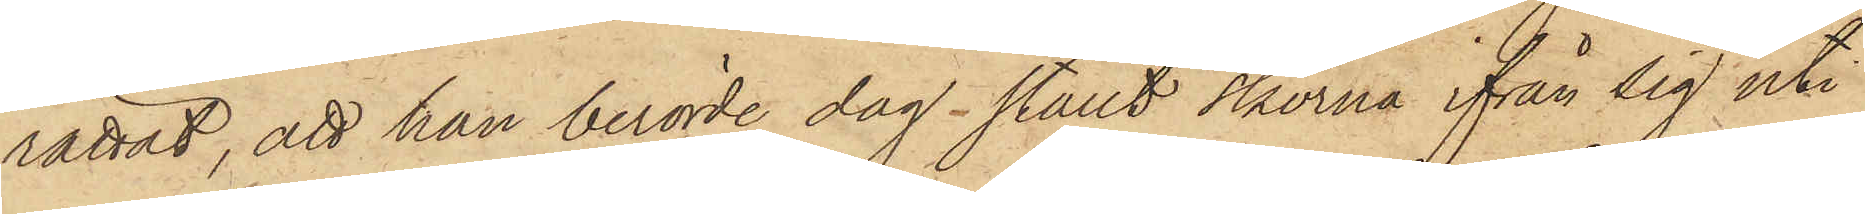rättat, att han berörde dag ställt skorna ifrån sig uti
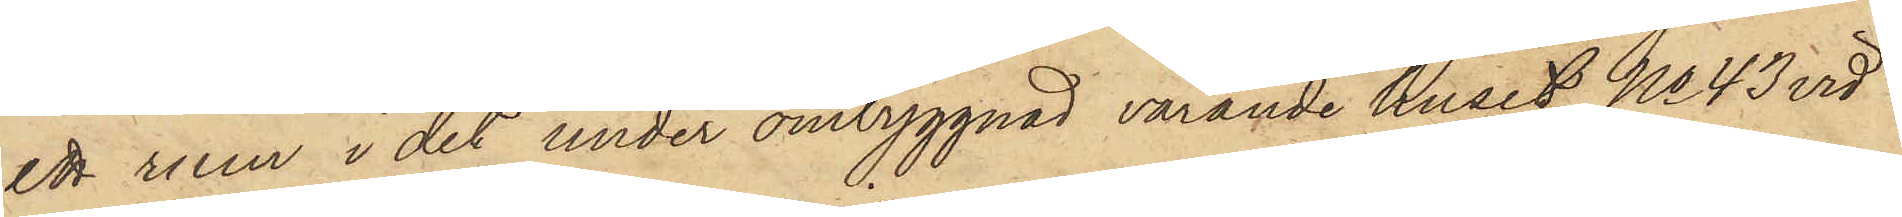ett rum i det under ombyggnad varande huset No 43 vid
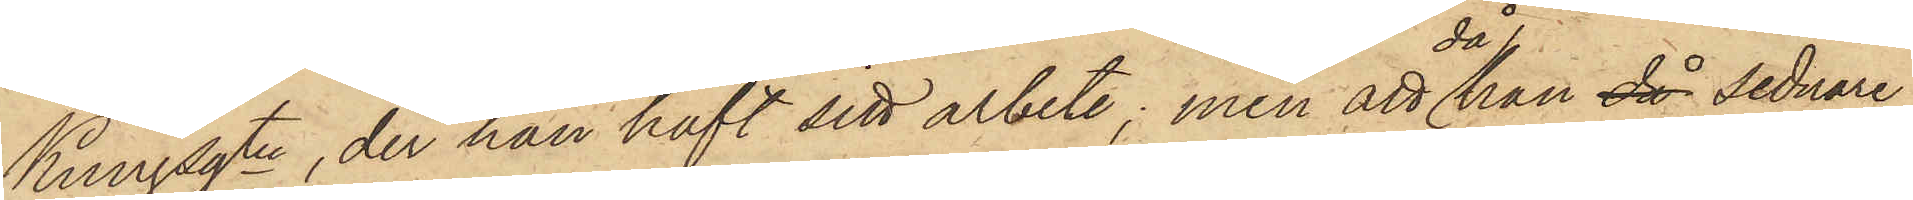Kungsgtn, der han haft sitt arbete; men att då han sednare
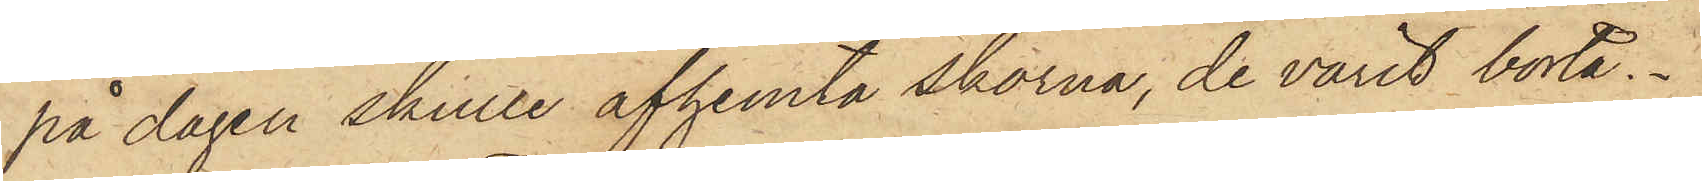på dagen skulle afhemta skorna, de varit borta.
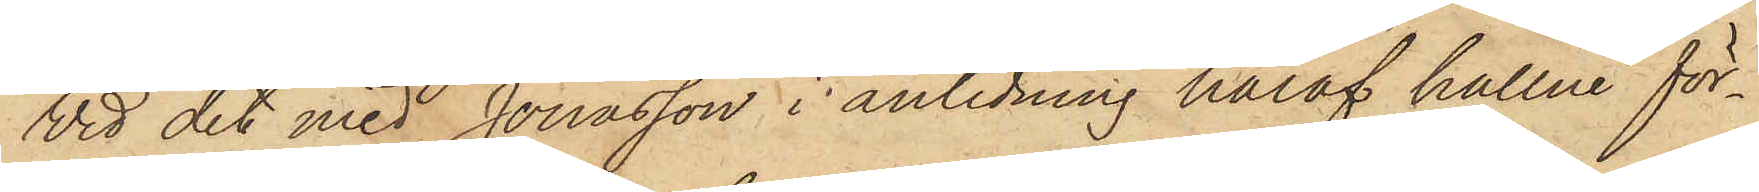Vid det med Jonasson i anledning häraf hållne för¬
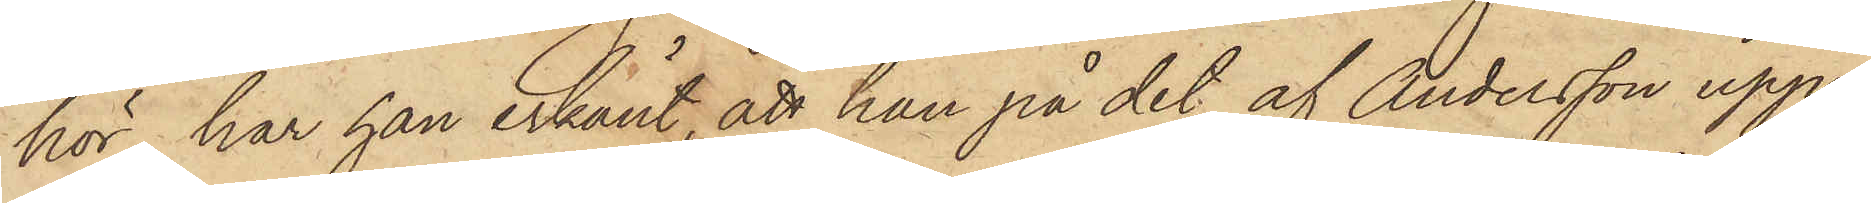hör har han erkänt, att han på det af Andersson upp¬
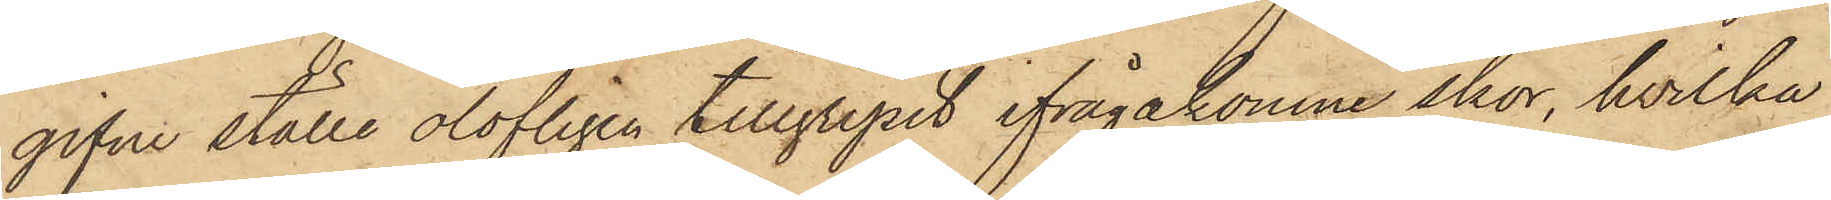gifne ställe olofligen tillgripit ifrågakomne skor, hvilka
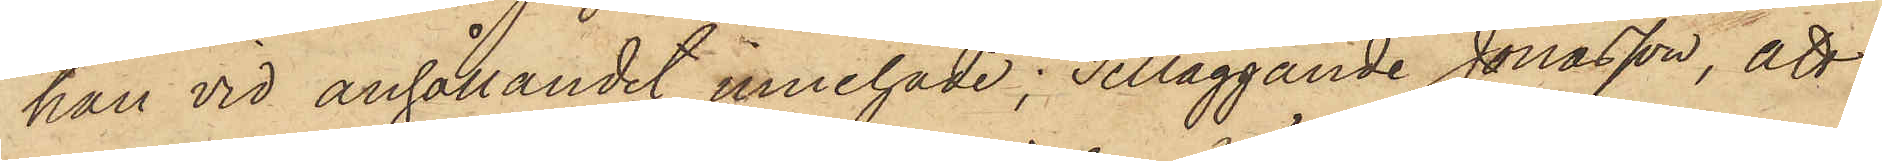han vid anhållandet innehade; Tilläggande Jonasson, att
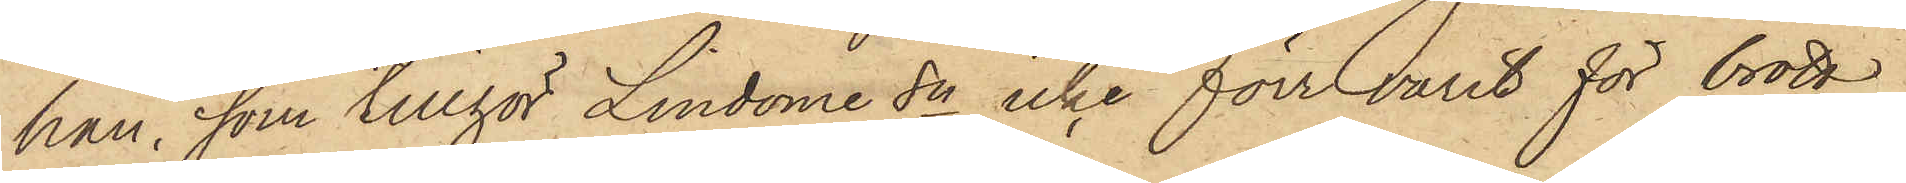han, som tillhör Lindome Sn icke förr varit för brott
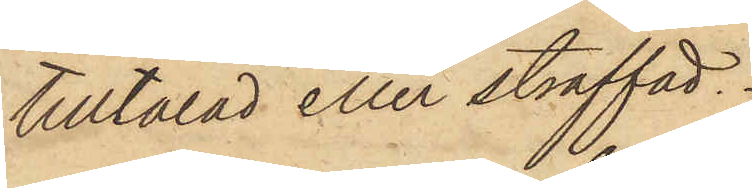tilltalad eller straffad.
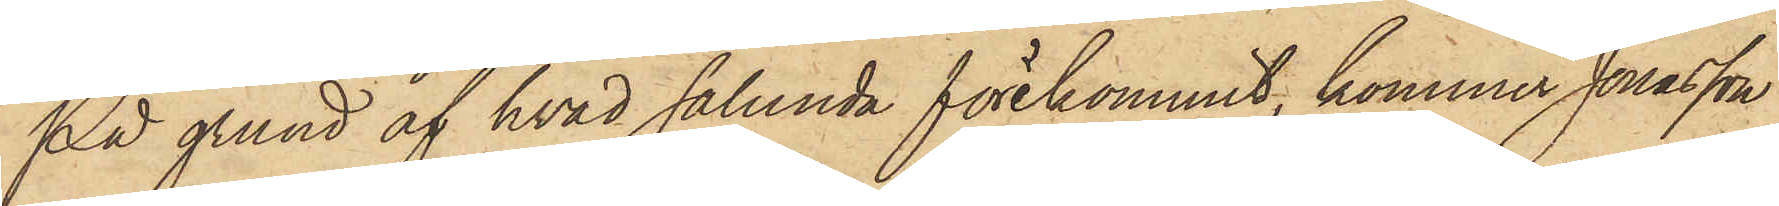På grund af hvad sålunda förekommit, kommer Jonasson
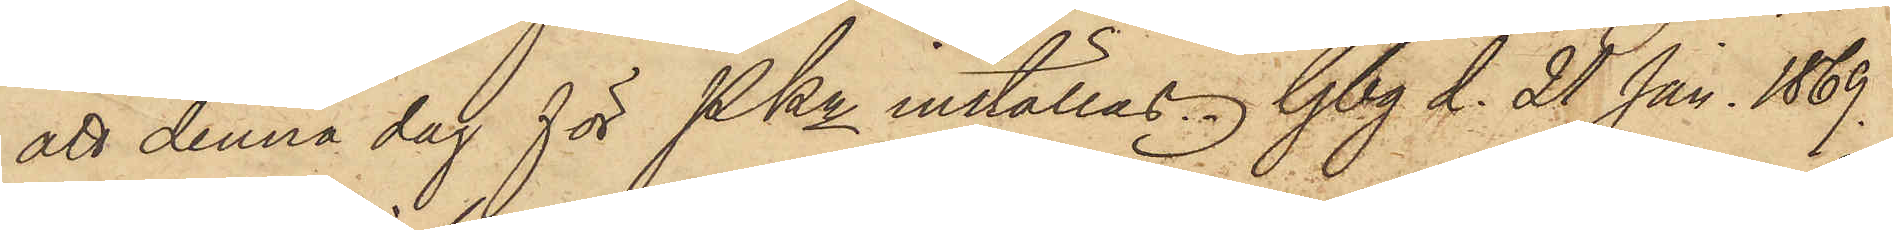att denna dag för PKn inställas. Gbg d. 21 Jan. 1869.
